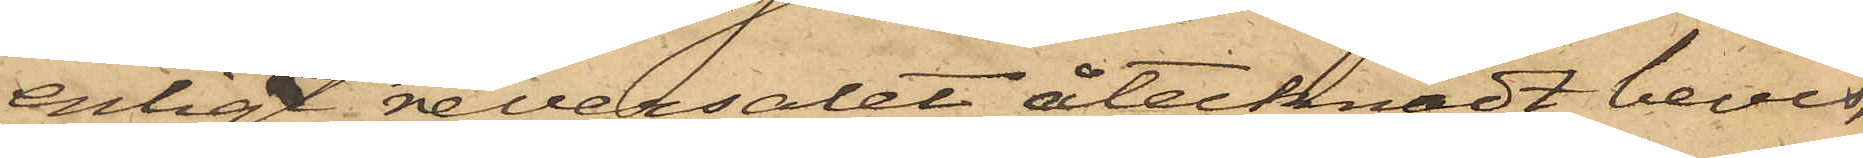enligt reversalet åtecknadt bevis,
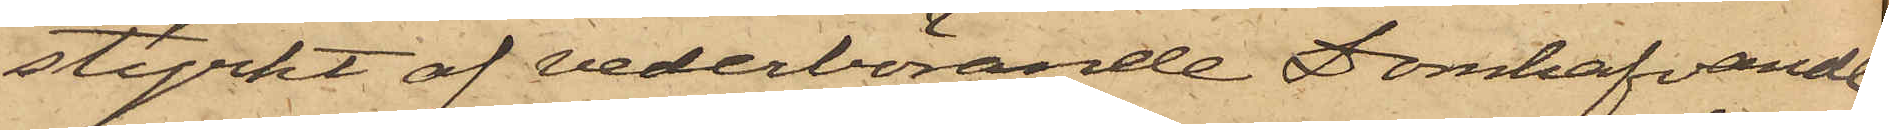styrkt af vederbörande Domhafvande,
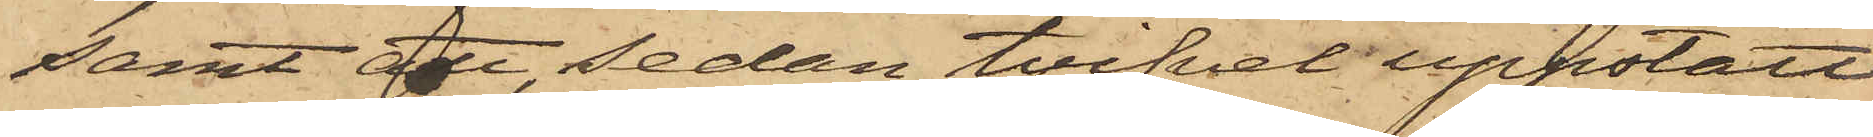samt att, sedan tvifvel uppstått
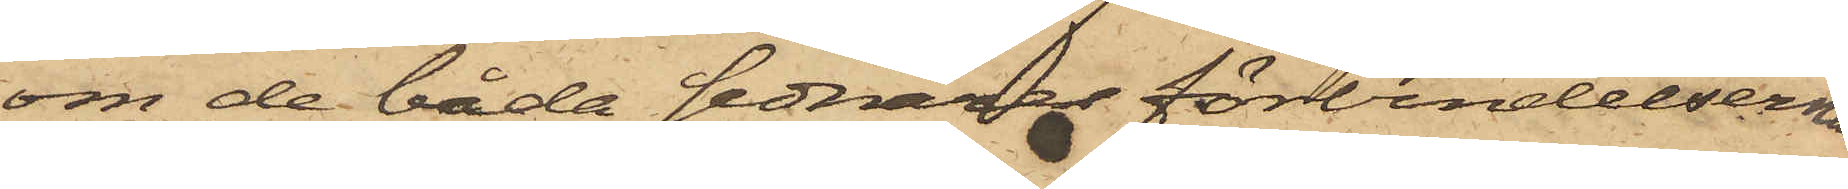om de båda sednare förvbindelsernas
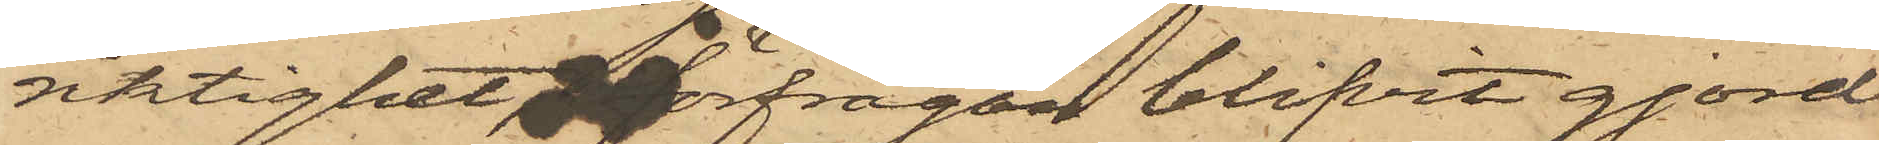riktighet, förfrågan blifvit gjord
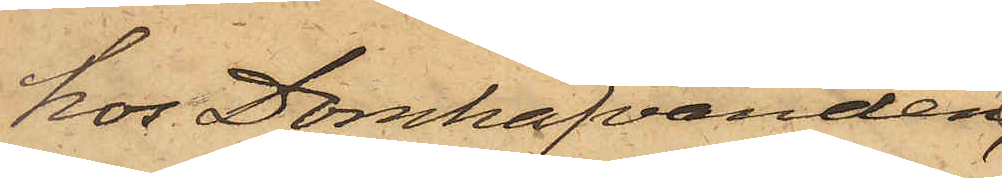hos Domhafvanden,
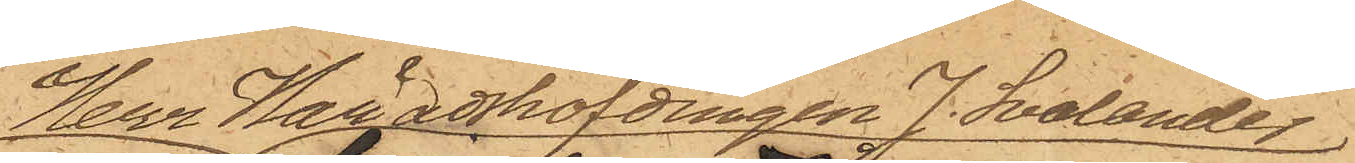Herr Häradshöfdingen J. Svalander
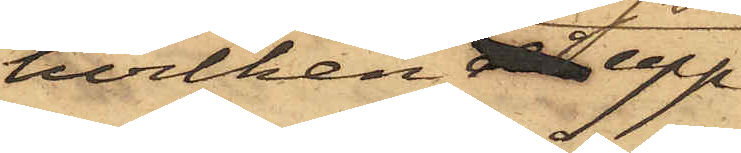hvilken då upp¬
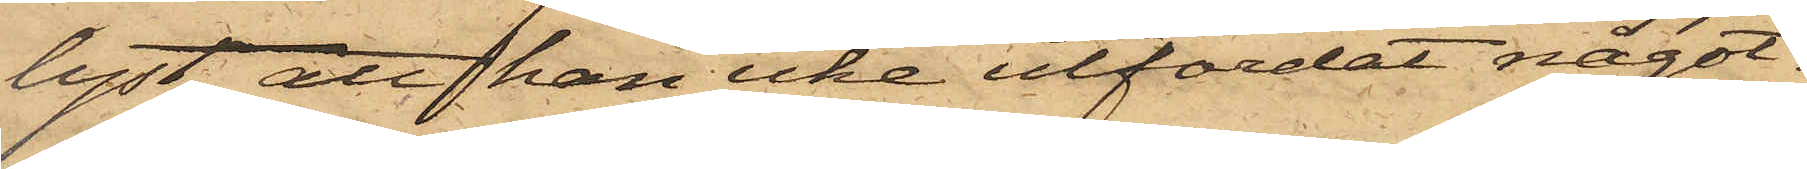lyst, att han icke utfärdat något¬
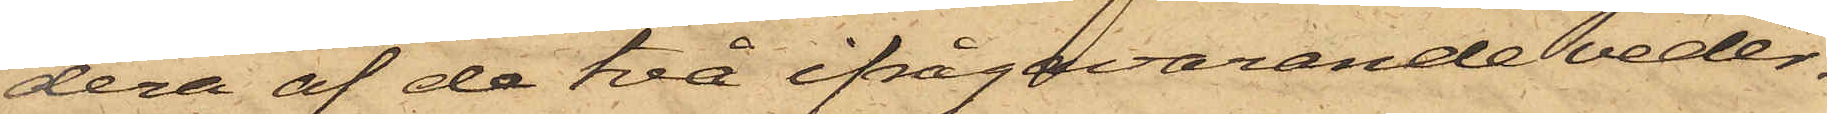dera af de två ifrågavarande veder¬
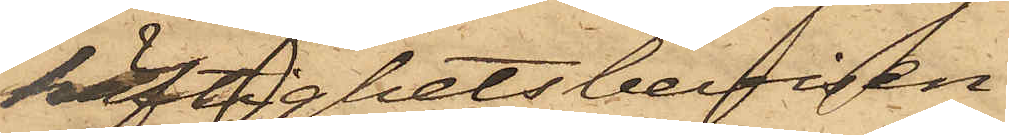häftighetsbevisen.
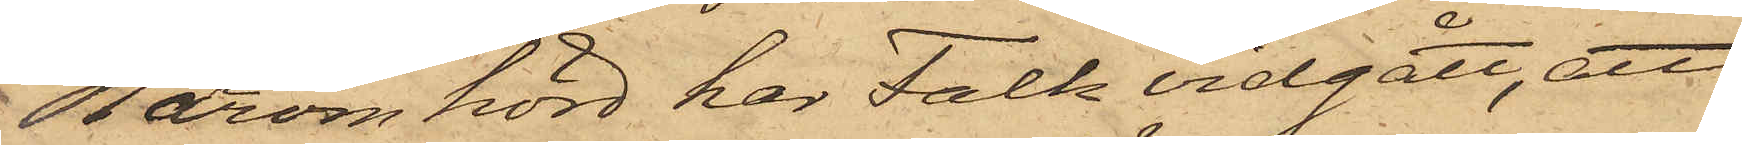Härom hörd har Falk vidgått, att
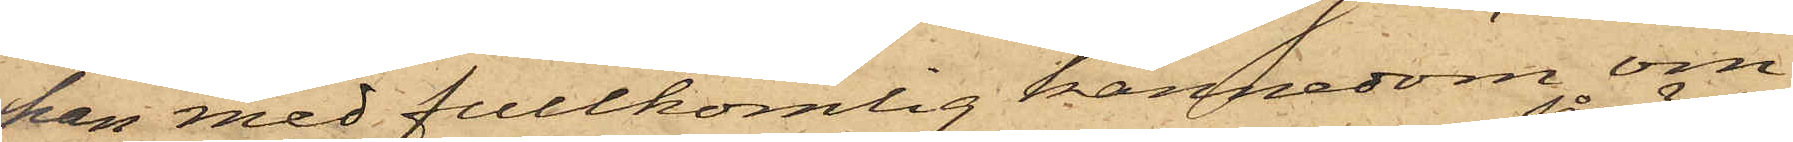han med fullkomlig kännedom om
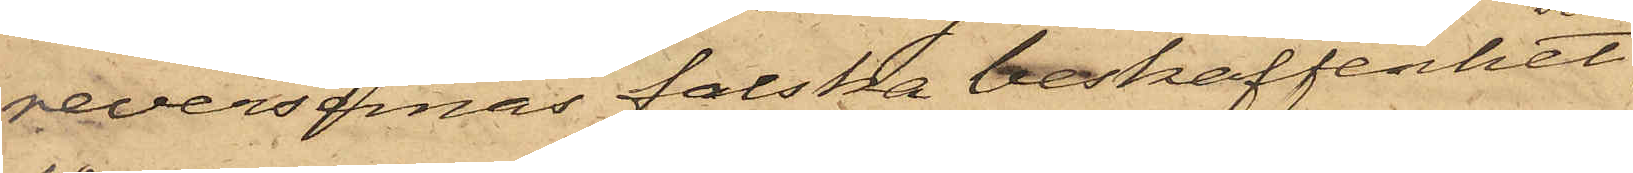reversernas falska beskaffenhet
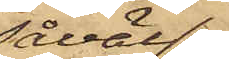såväl
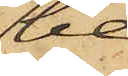be¬
